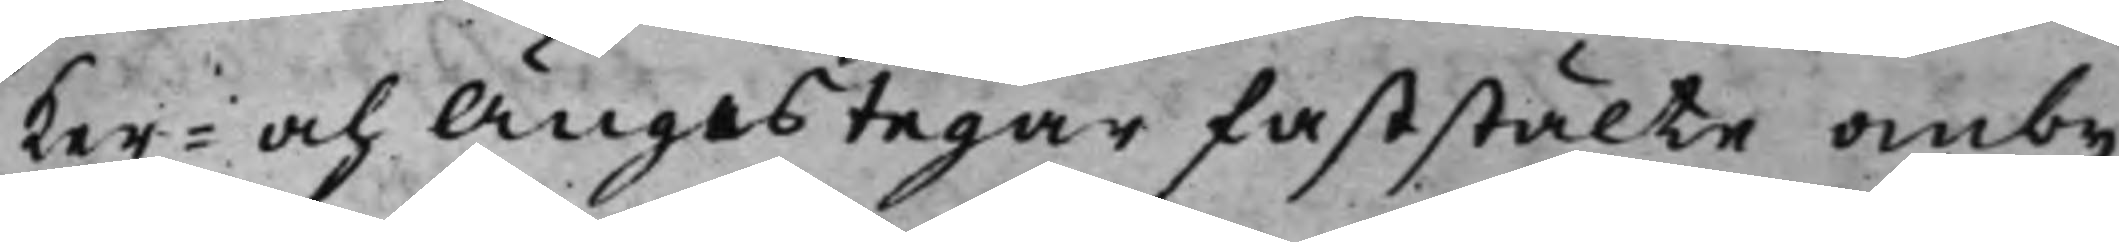ker- och Ängestegar faststälte omby¬
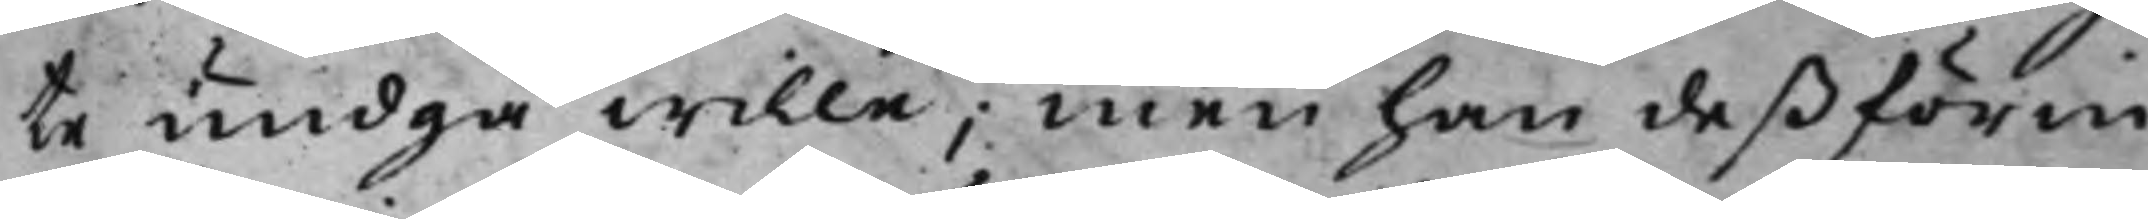te undgå wille; men han deß förrin¬
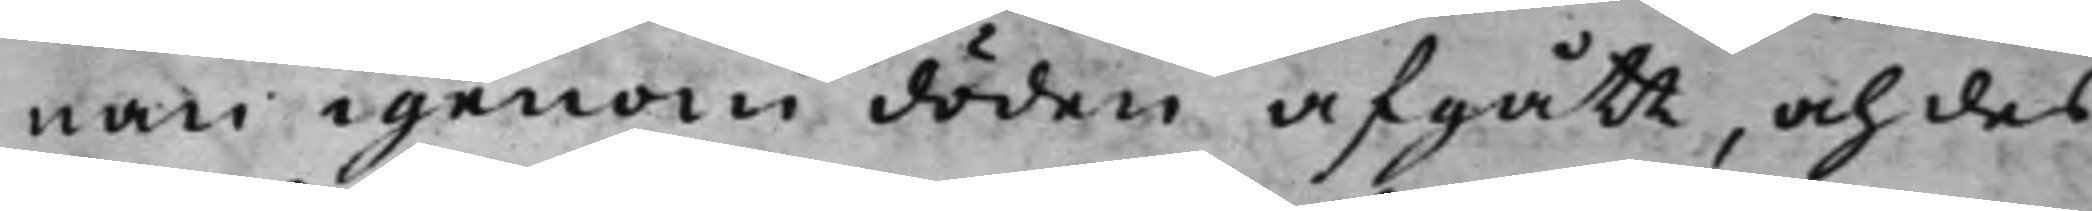nan igenom döden afgått, och des
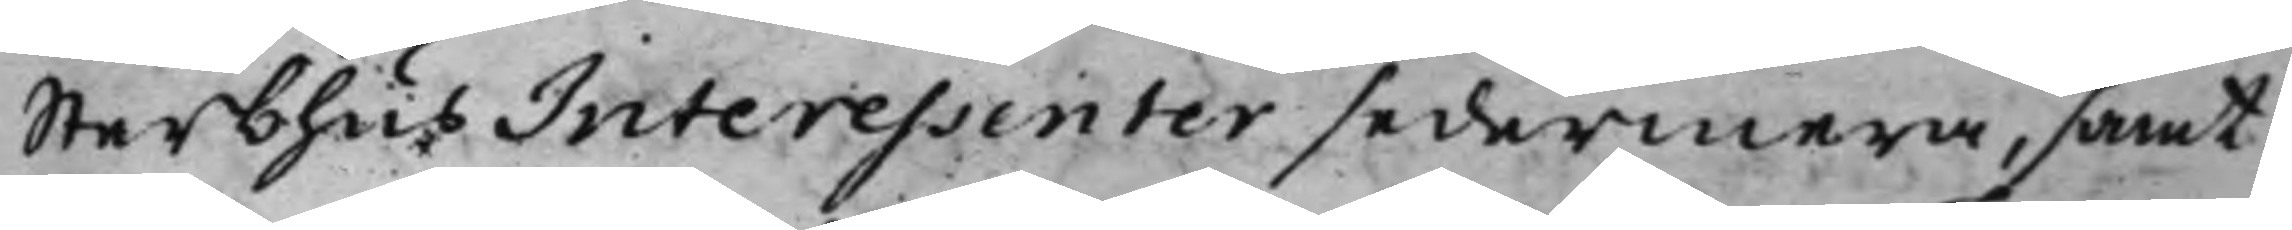Sterbhus Interessenter sedermera, samt
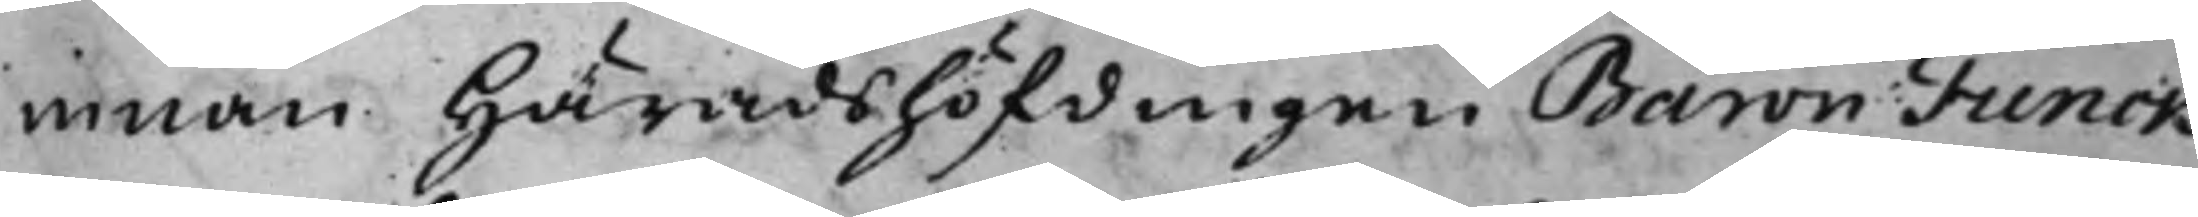innan Häradshöfdingen Baron Funck
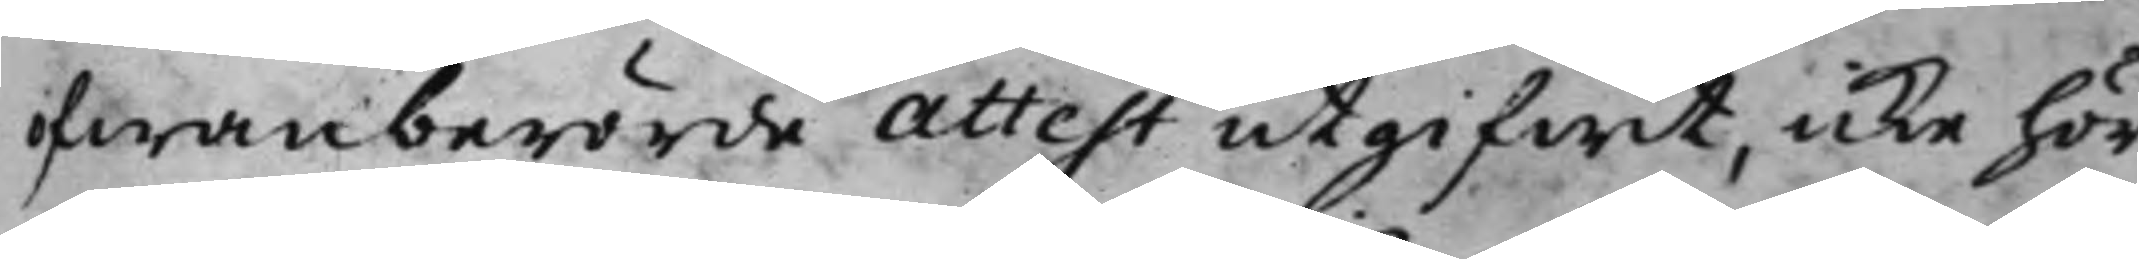ofwanberörde Attest utgifwit, icke hör¬
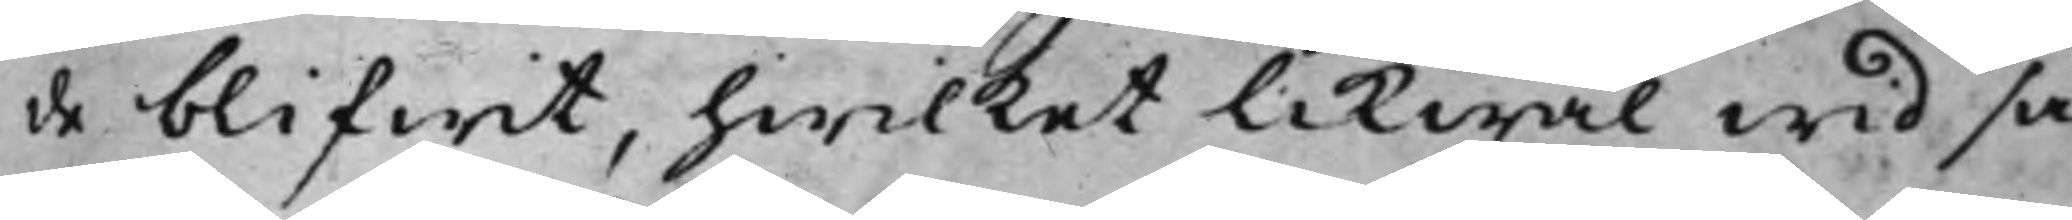de blifwit, hwilket likwäl wid så
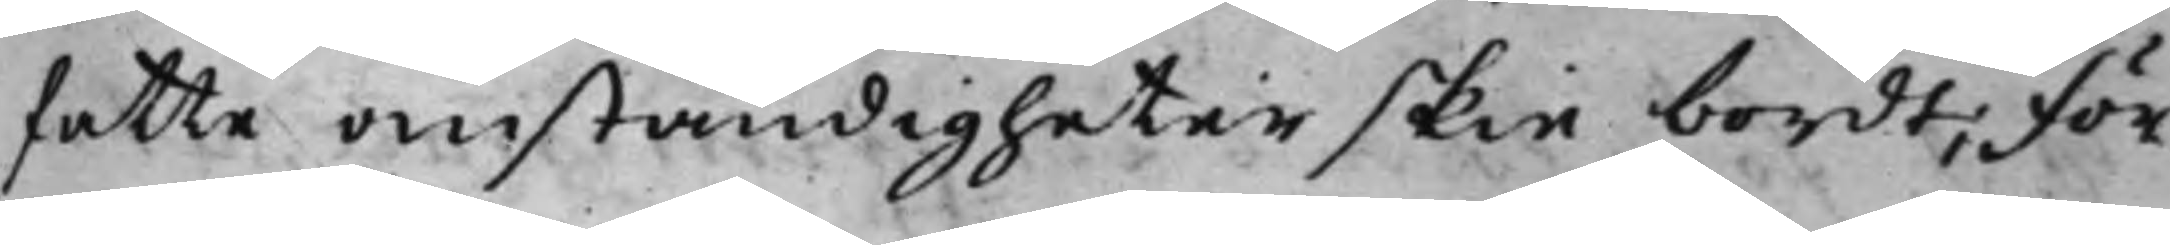fatte omständigheter skie bordt; För¬
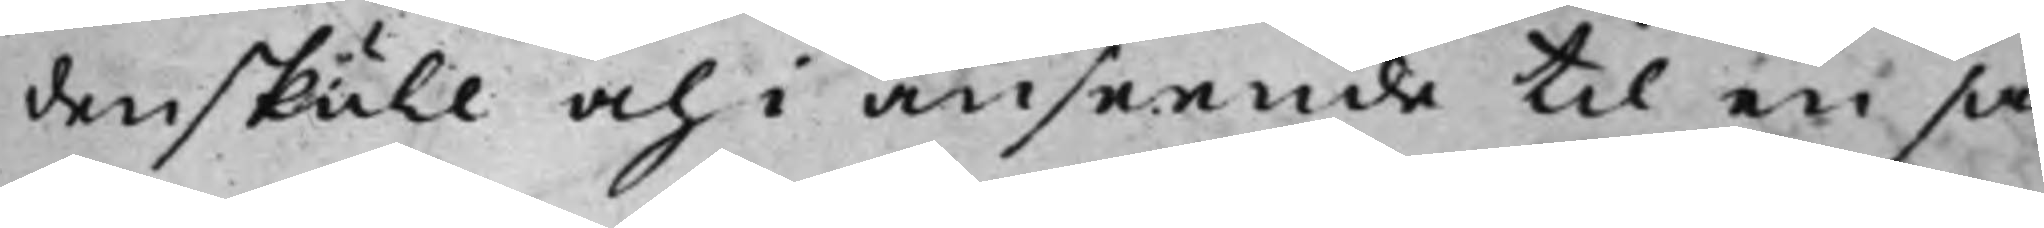denskull och i anseende till en så¬
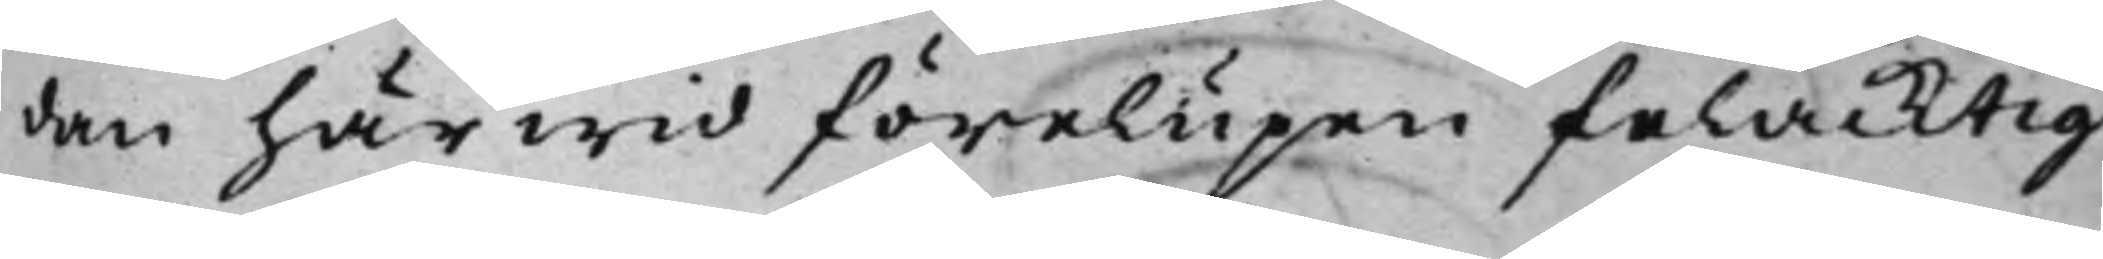dan härwid förelupen felacktig¬
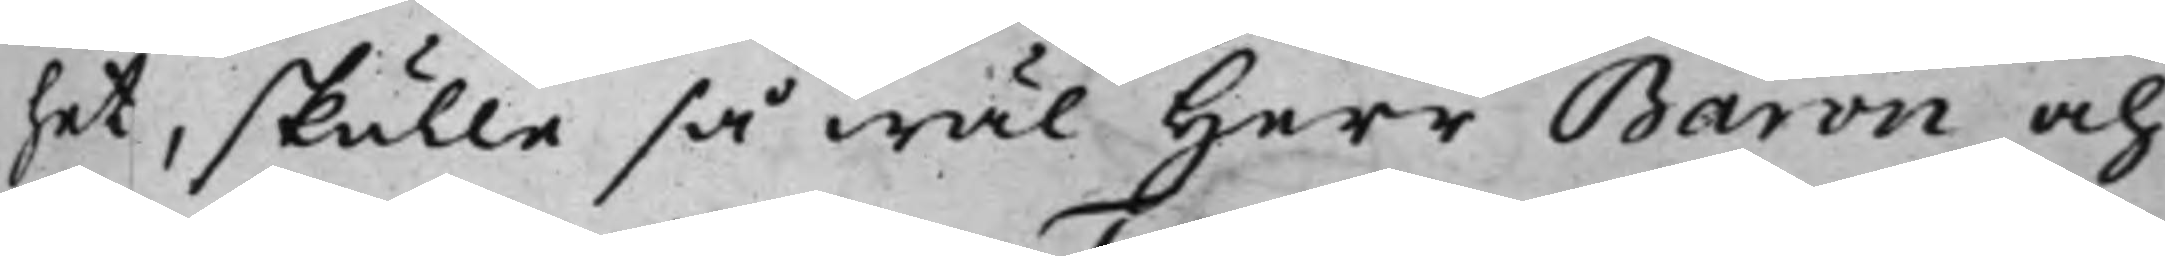het, skulle så wäl Herr Baron och
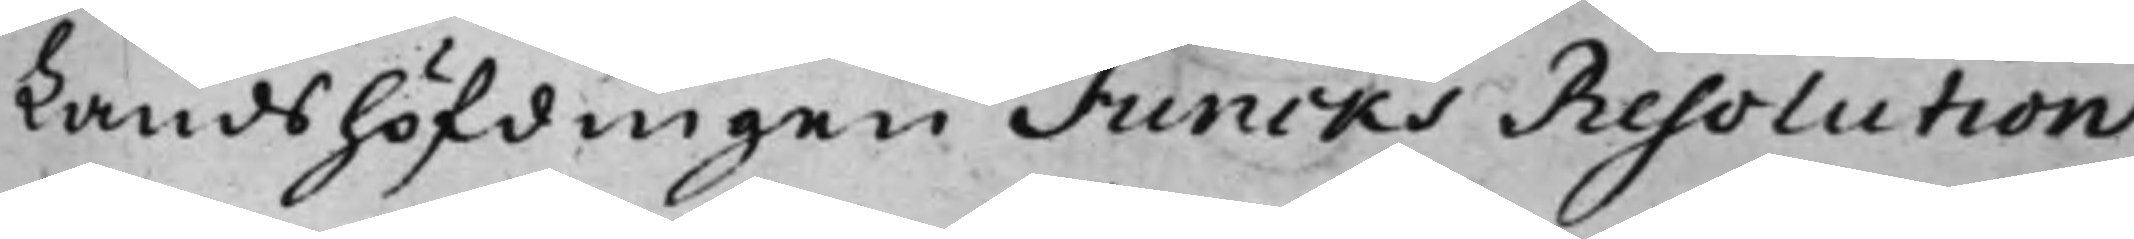Landshöfdingen Funcks Resolution
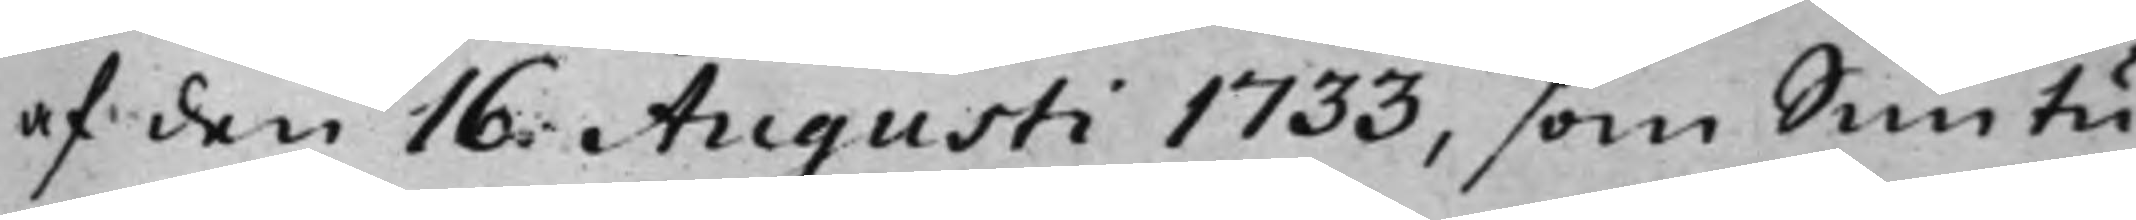af den 16. Augusti 1733, som Simtu¬
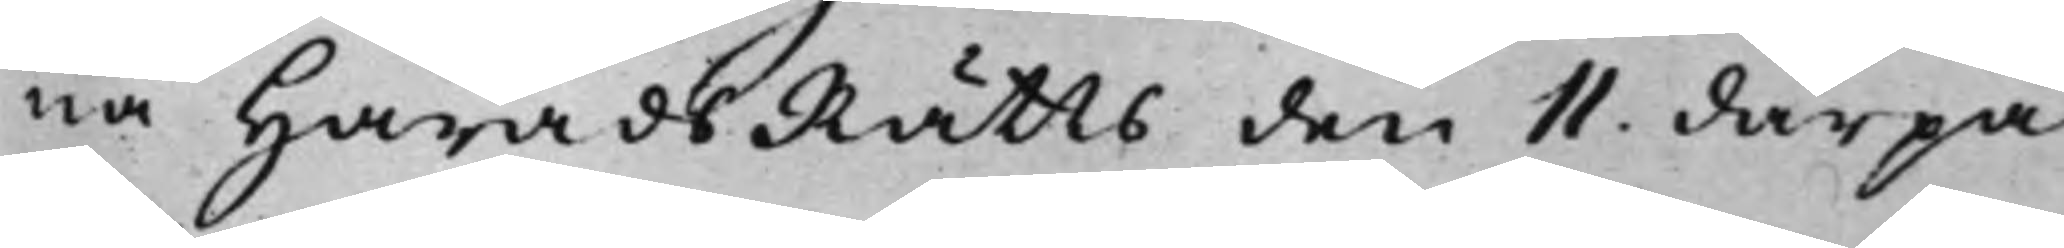na HäradsRätts den 11. därpå
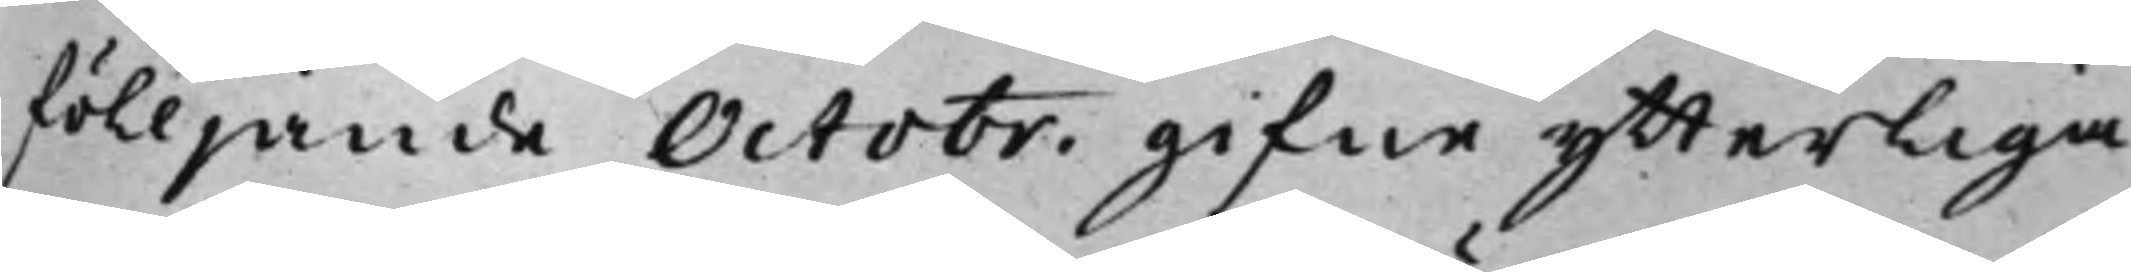fölljande Octobr. gifne ytterliga¬
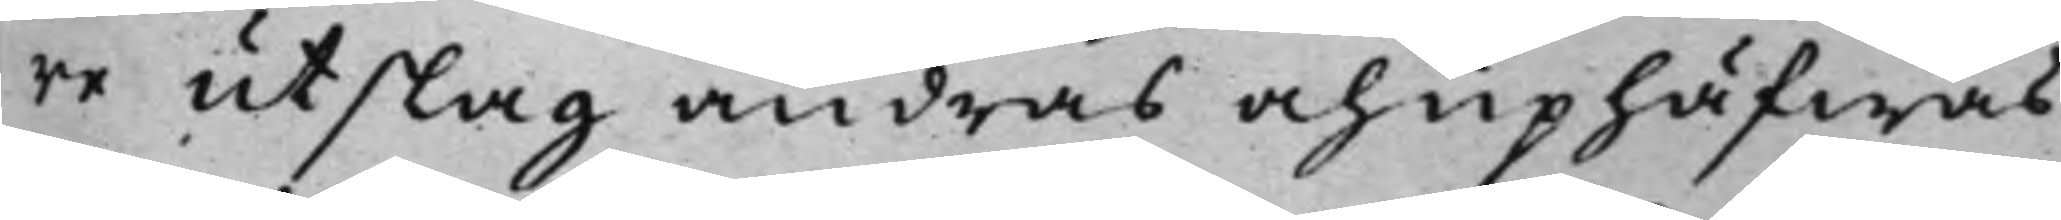re utslag andras och uphäfwas,
